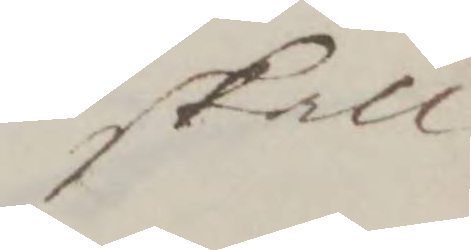skall
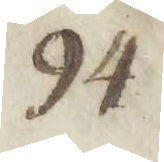94
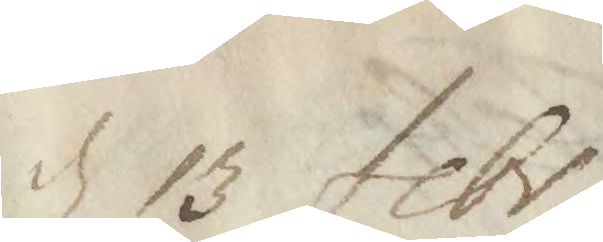d 13 febr.
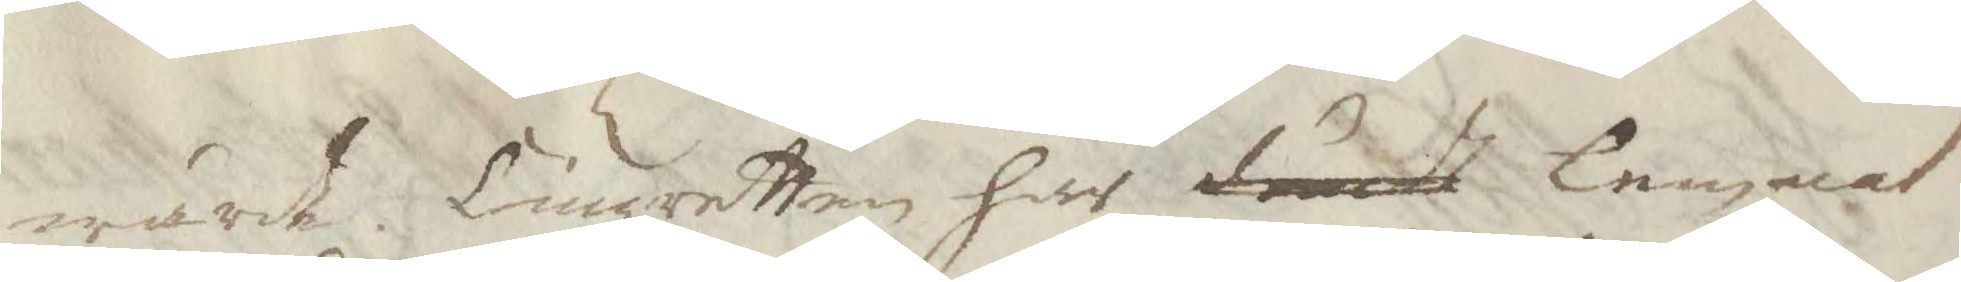wärde. Tingzretten har dömdt lemnat
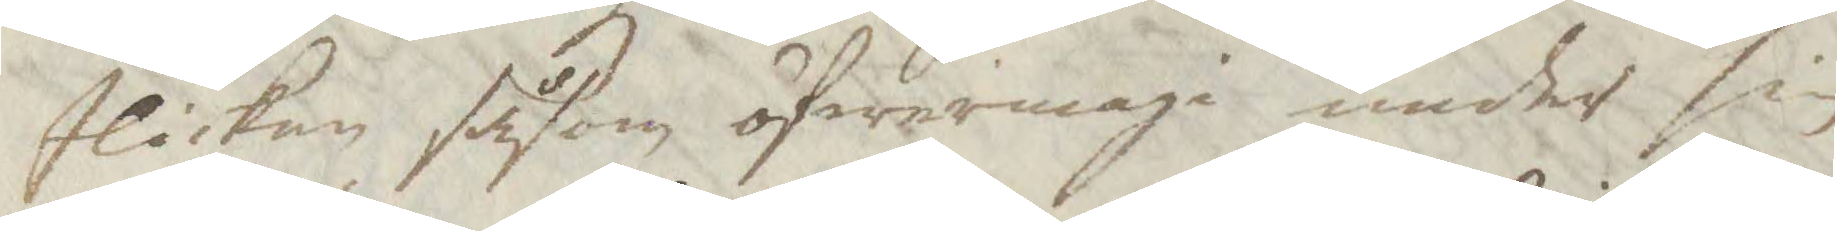flickan såsom öfwermaga under sin
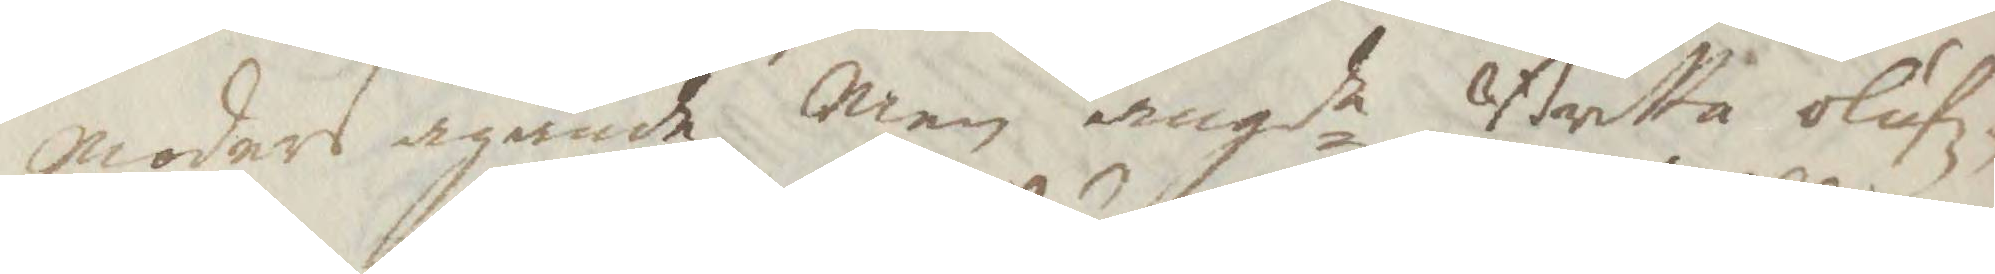moders agande Men angde Britta olufz¬
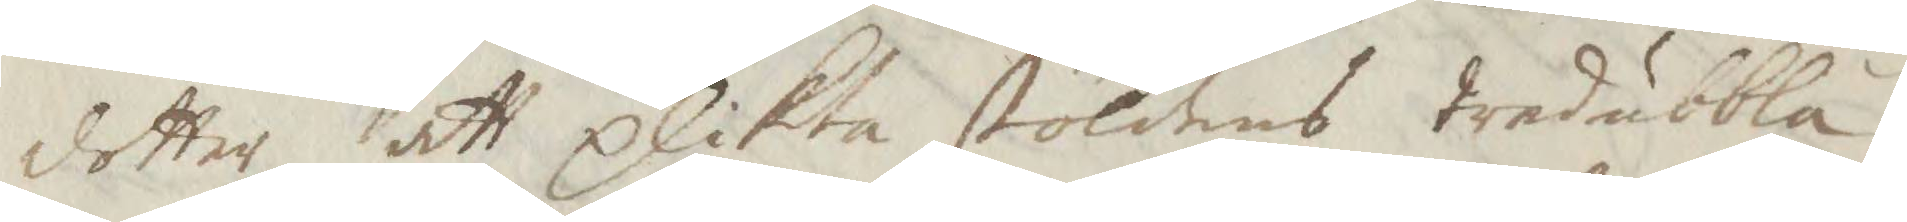dotter att plikta stöldens tredubbla
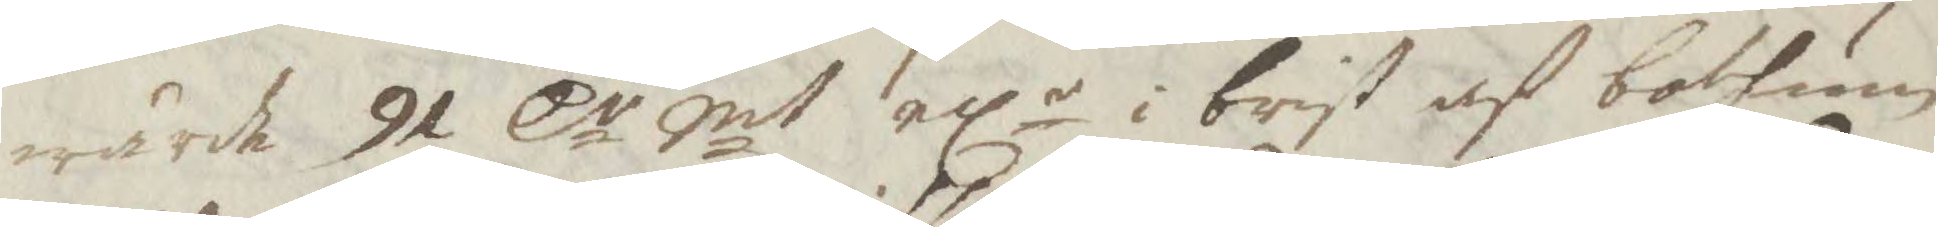wärde 91 Cr Smt ellr i brist af botum
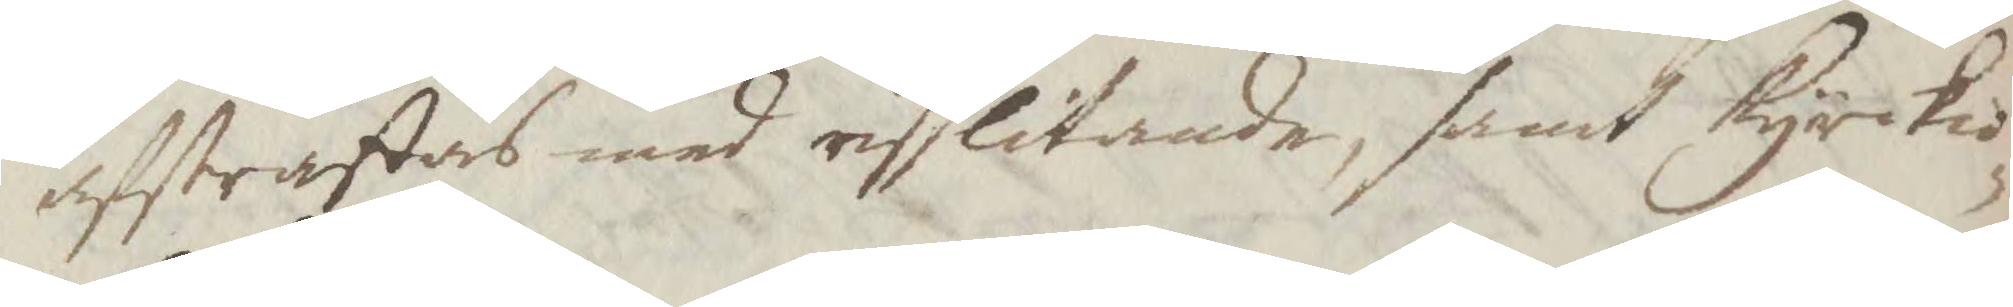afstraffas med risslitande, samt kyrkio¬
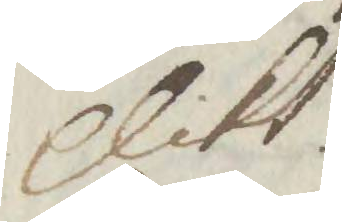plikt.
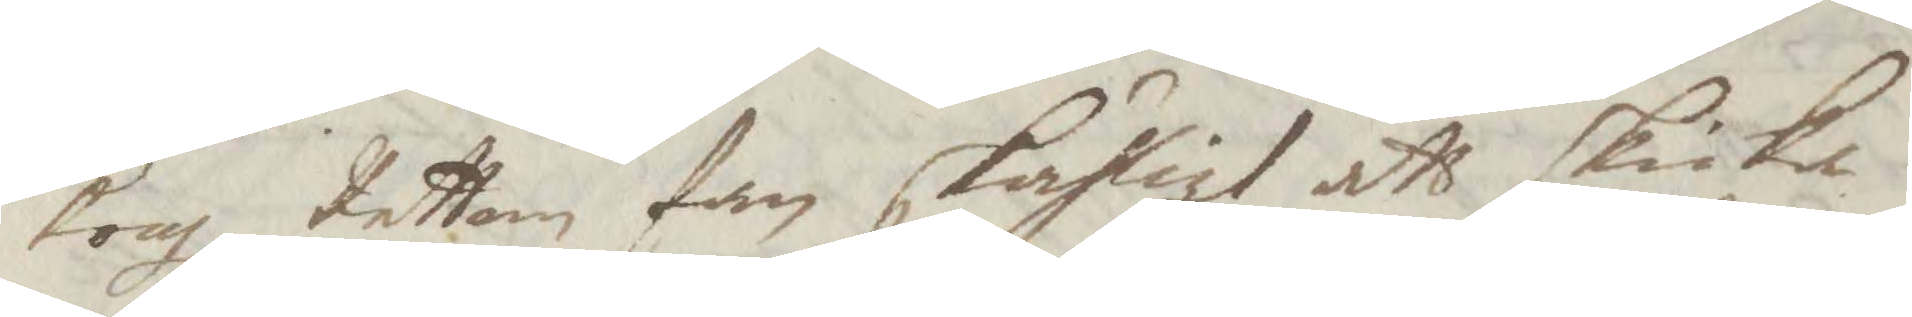Kongl Retten fan skäligt att skicka
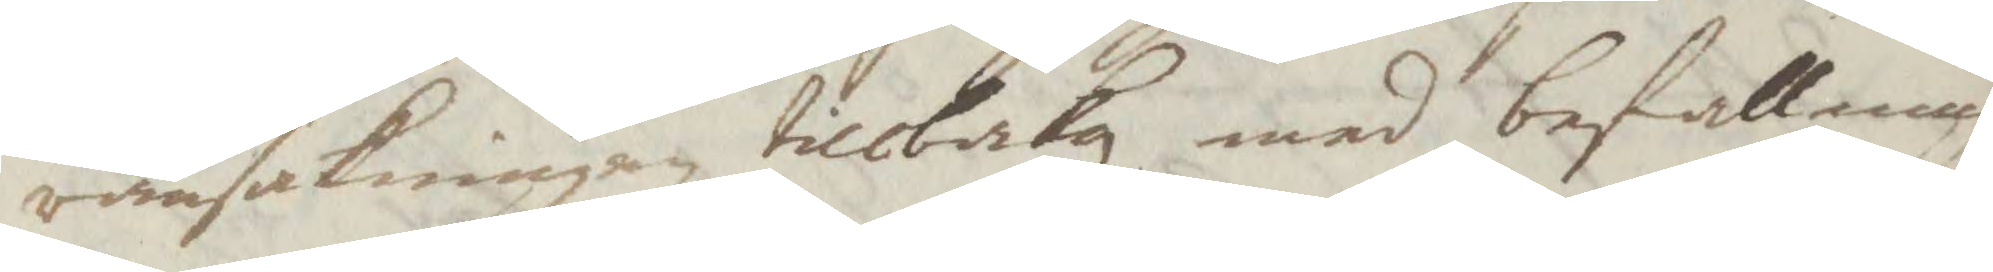ransakningen tillbaka med befallning
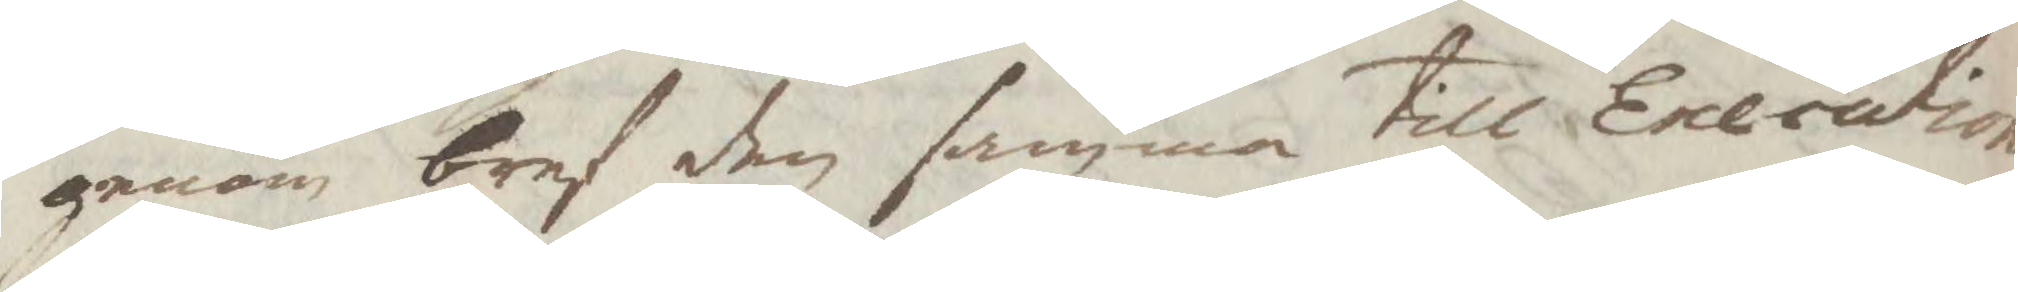genom bref den samma till Execution
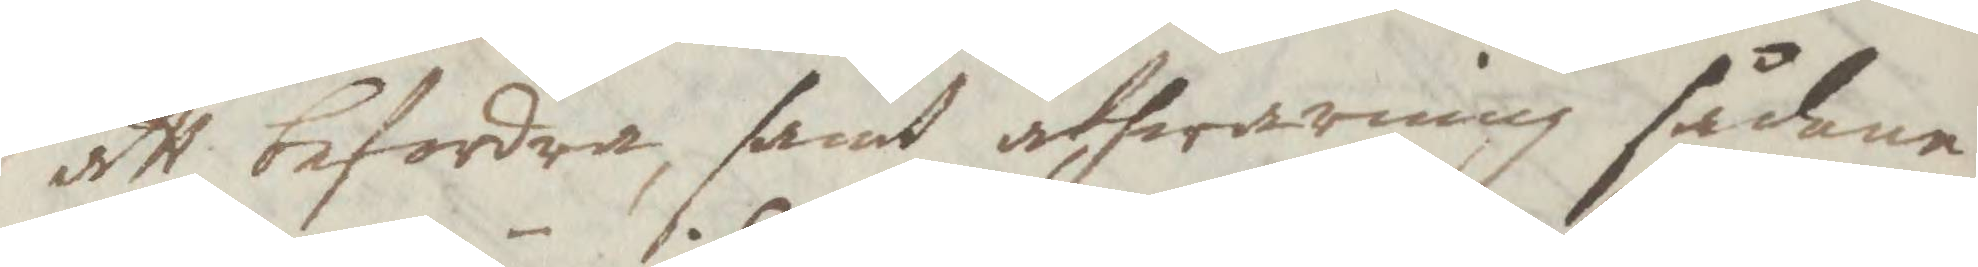att befordra, samt åthwarning sådana
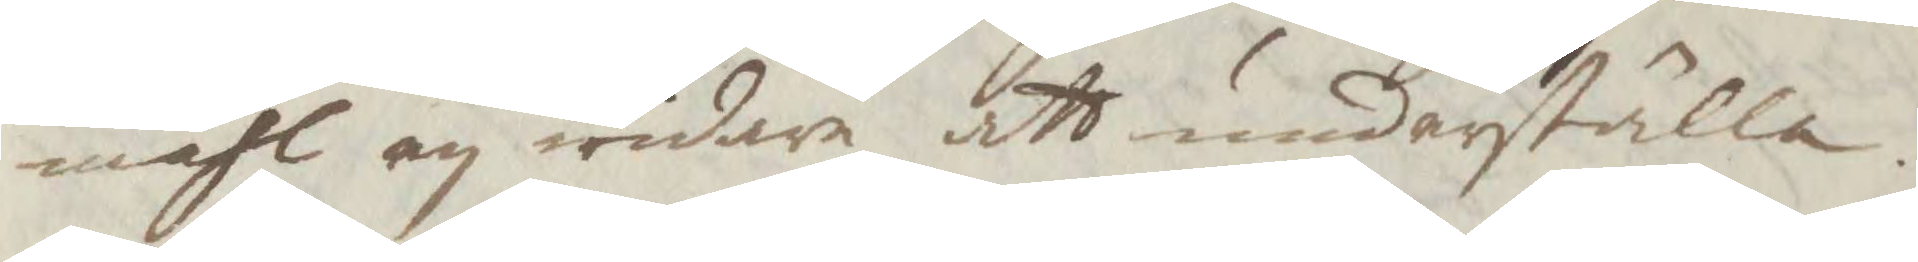måhl ey widare att underställa.
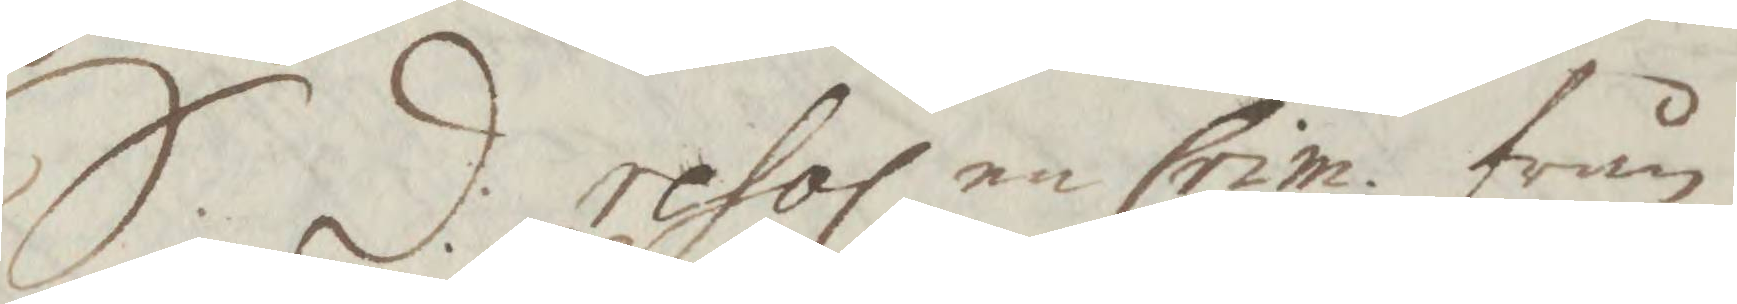S:d: resol en Crim. från
